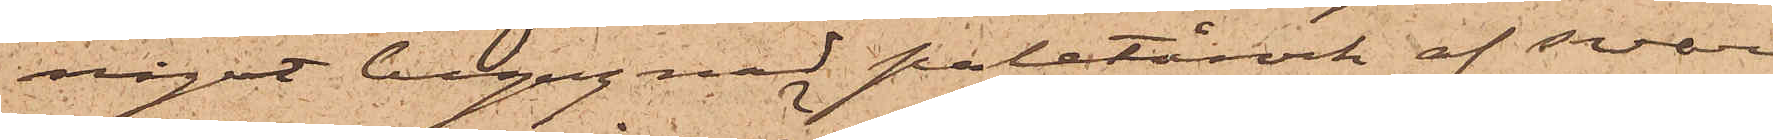något begagnad paletårock af svart
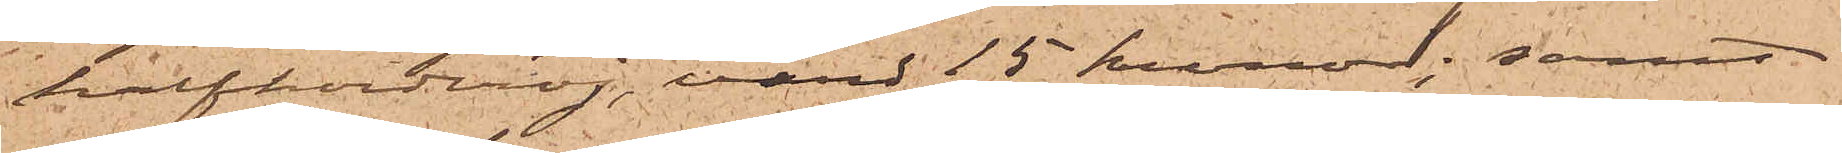halfkorderoj, värd 15 kronor; samt
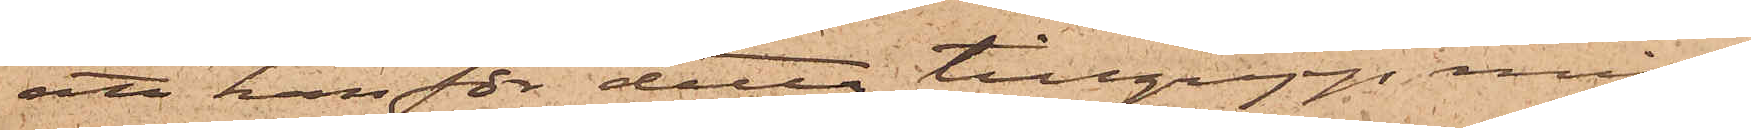att han för detta tillgrepp miss¬
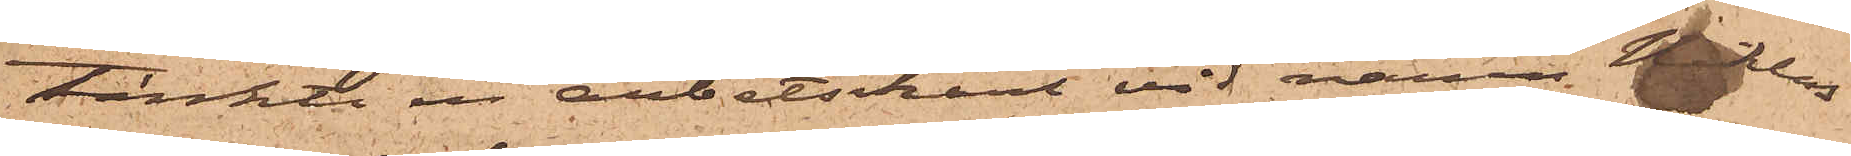tänkte en arbetskarl vid namn Niklas
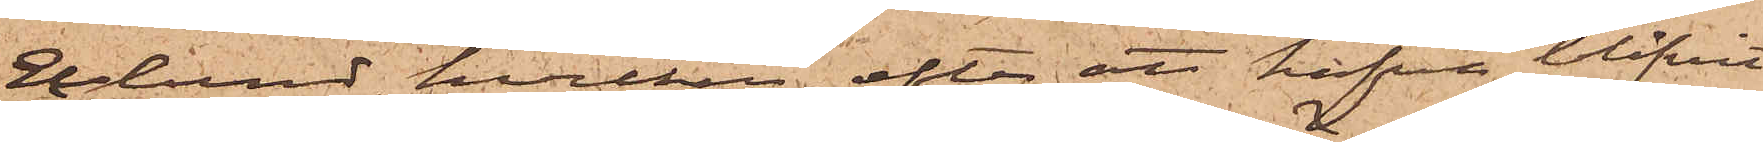Eklund, hvilken efter att hafva blifvit
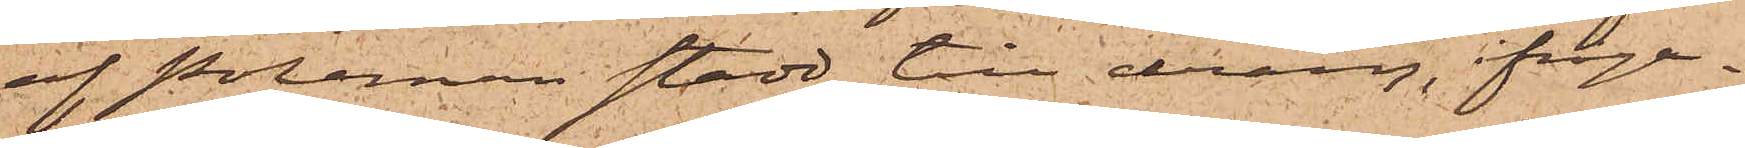af Poleman stadd till dräng, ifråga¬
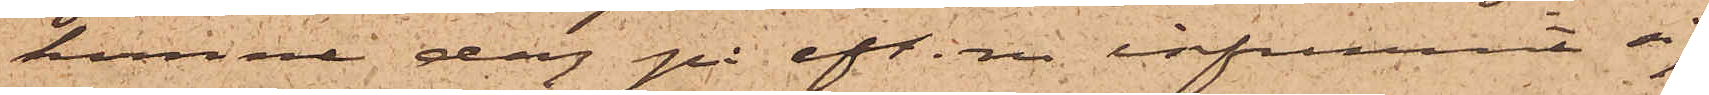komne dag på eft. m. infunnit sig
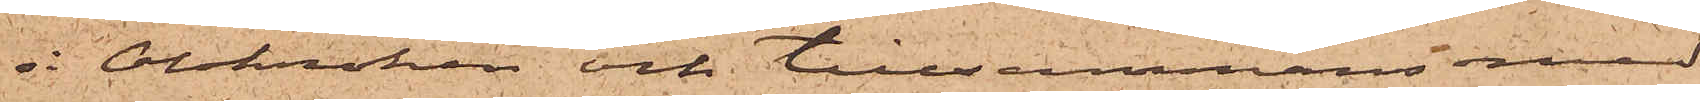 i Olskroken och tillsammans med
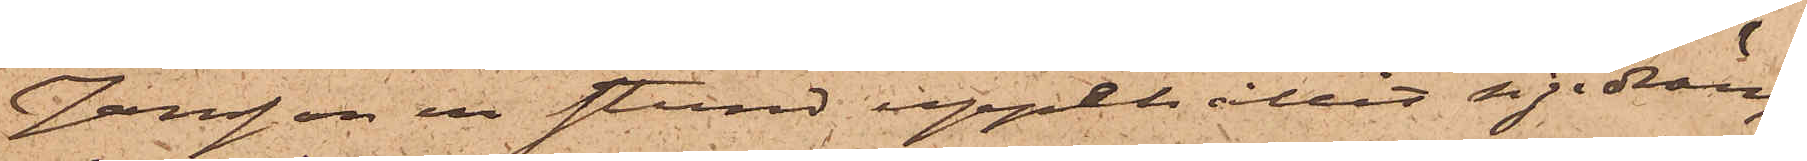Jansson en stund uppehållit sig i dräng¬
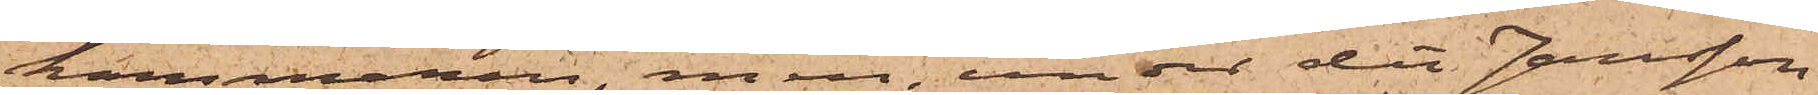kammaren, men under det Jansson
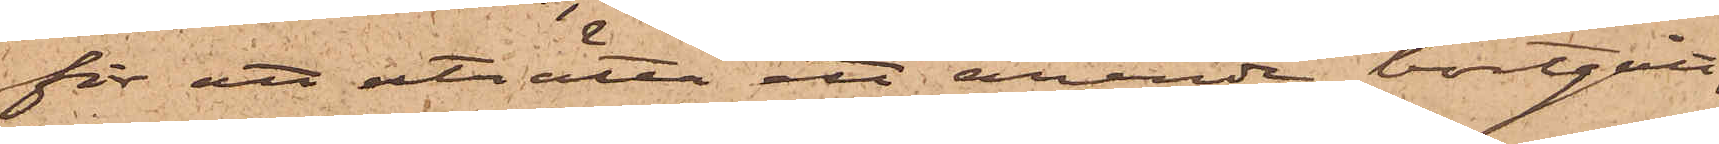för att uträtta ett ärende bortgått,
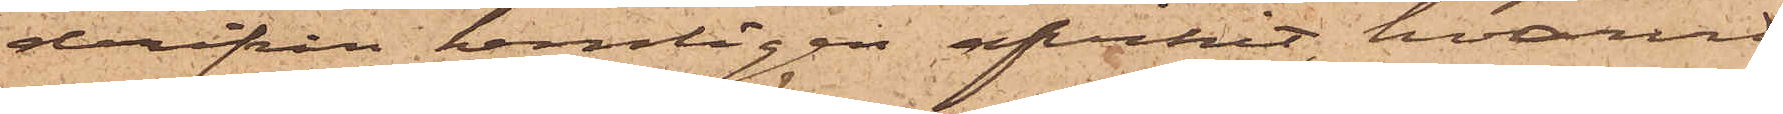derifrån hemligen afvikit, hvarvid
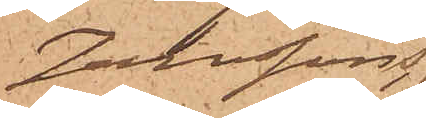Janssons
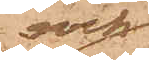rock
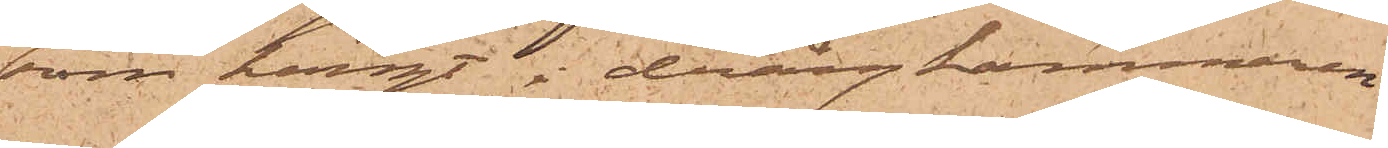som hängt i drängkammaren
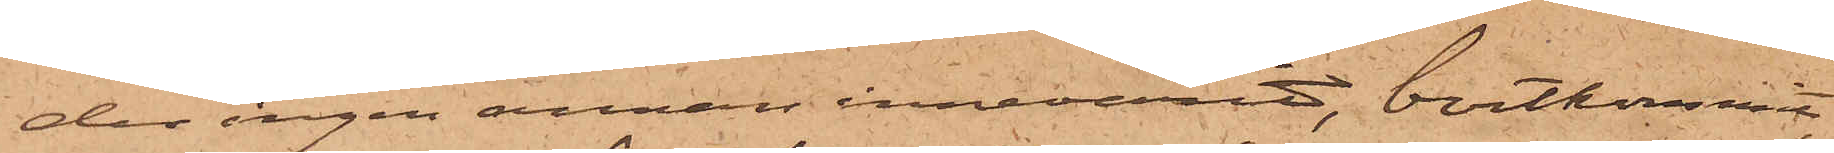der ingen annan innevarit, bortkommit
